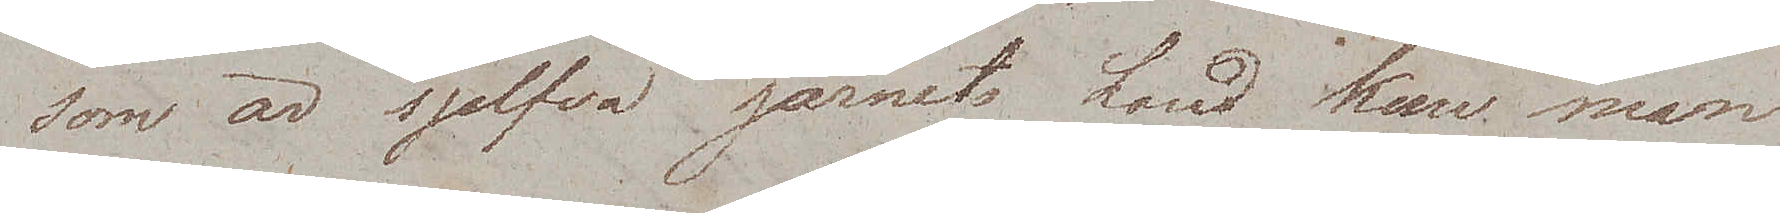som är sjelfva järnets Land kan man
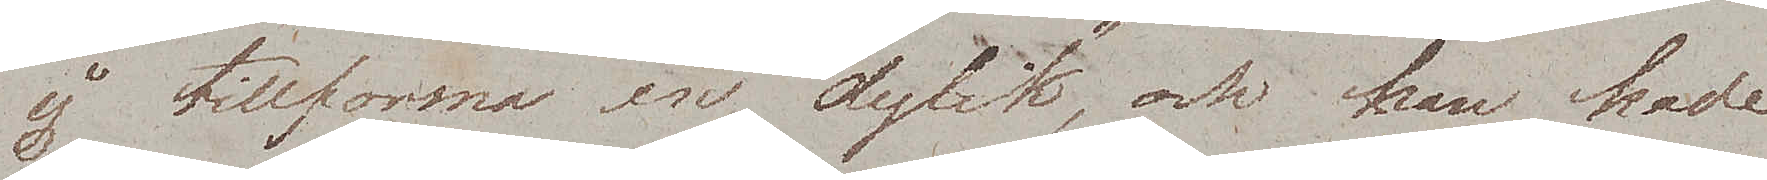ej tillforma en dylik, och han hade
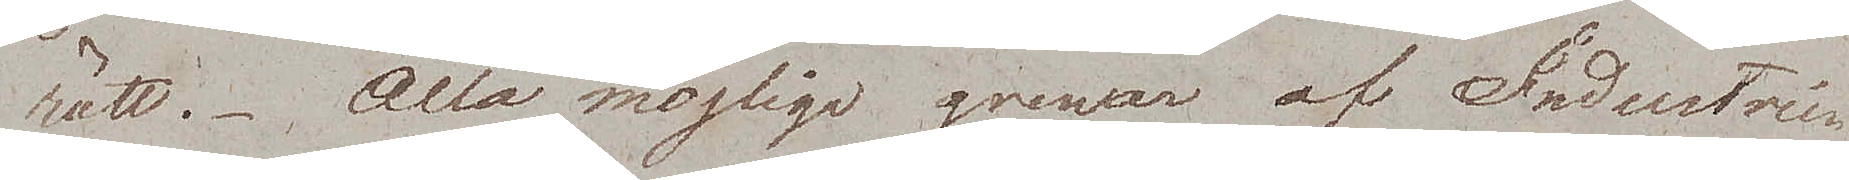rätt. Alla möjliga grenar af Industrier
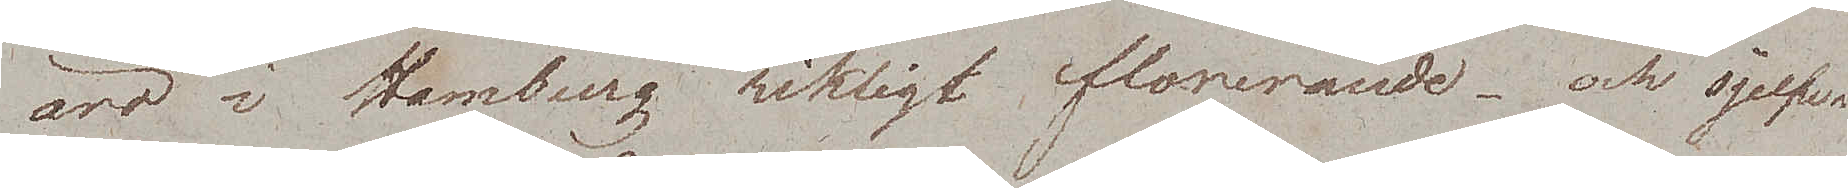äro i Hamburg rikligt florerande – och sjelfva
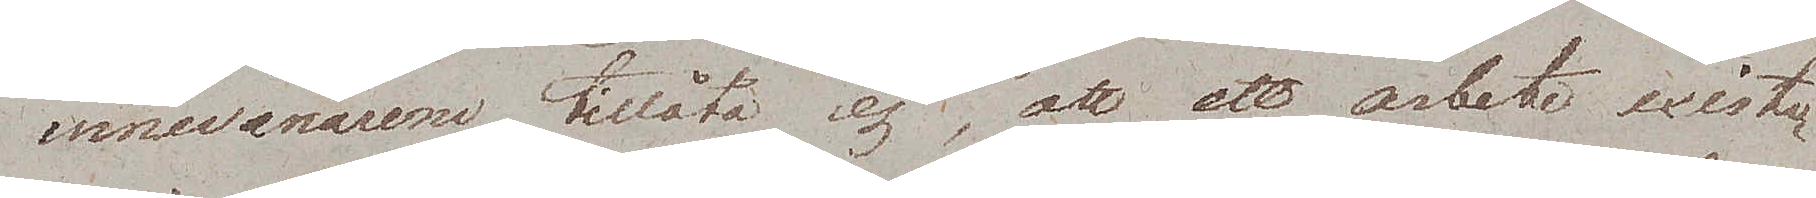innevånarene tillåta ej, att ett arbete existe¬
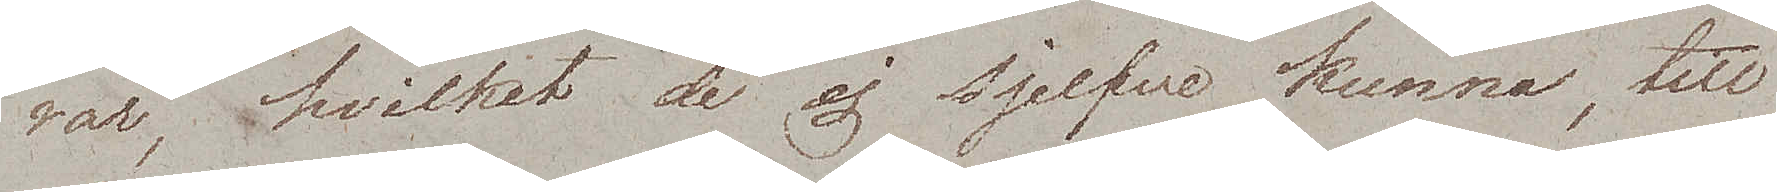rar, hvilket de ej sjelfve kunna, till
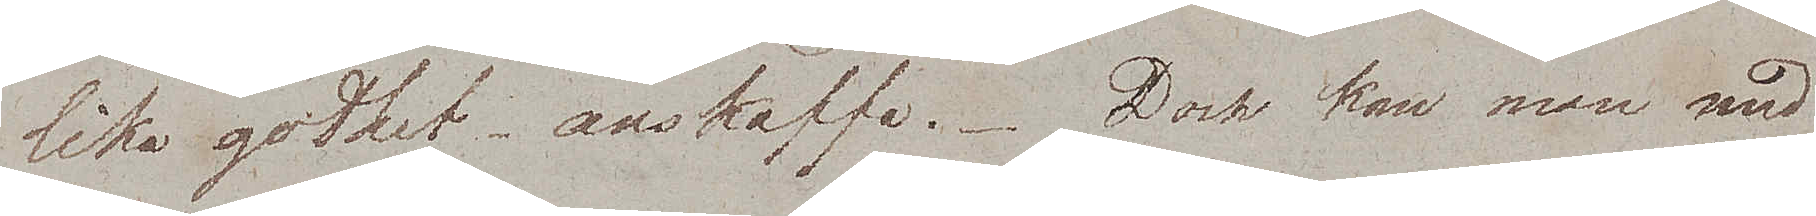lika godhet anskaffa. Dock kan man med
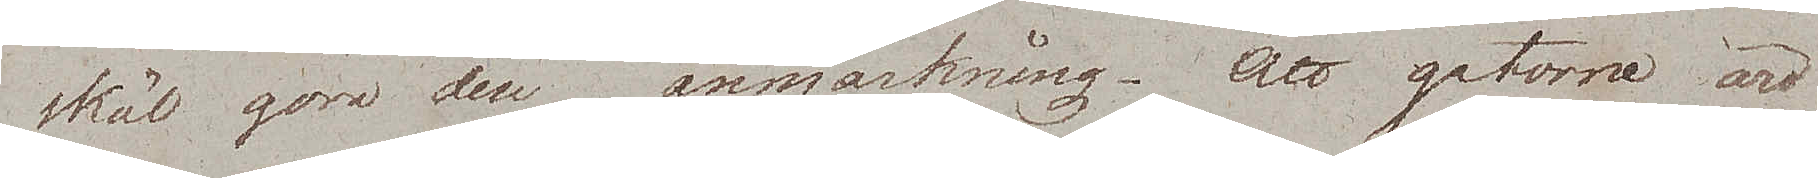skäl göra den anmärkning – att gatorne äro
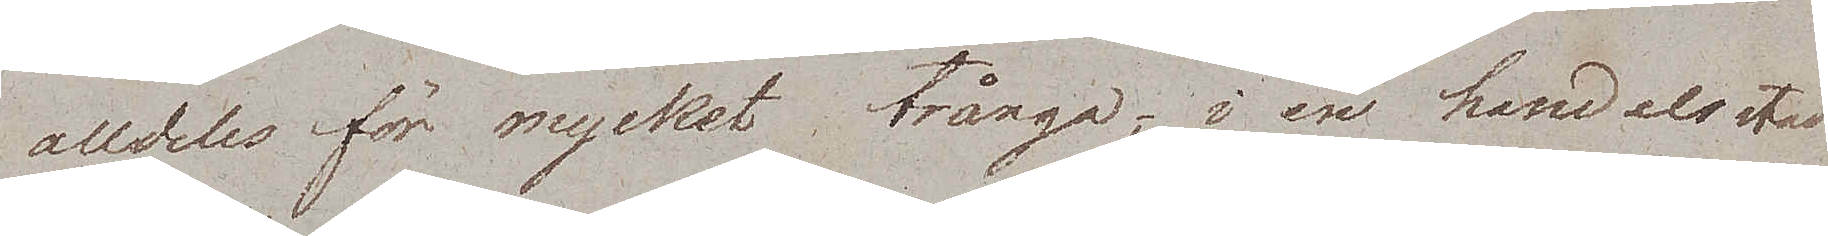alldeles för mycket trånga; i en handelsstad
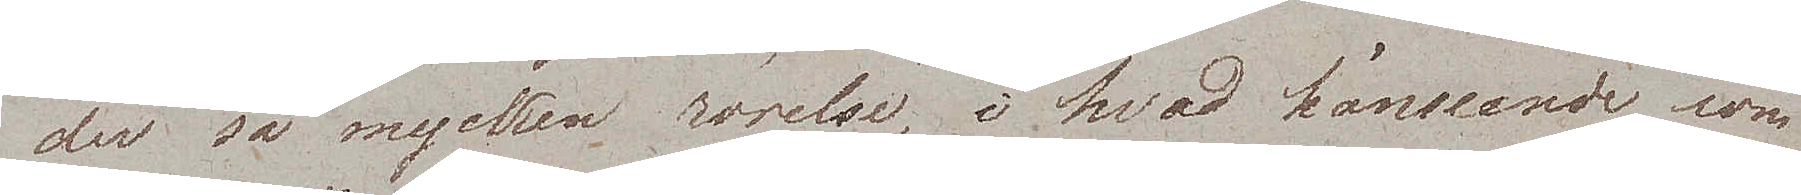der så mycket rörelse, i hvad hänseende som
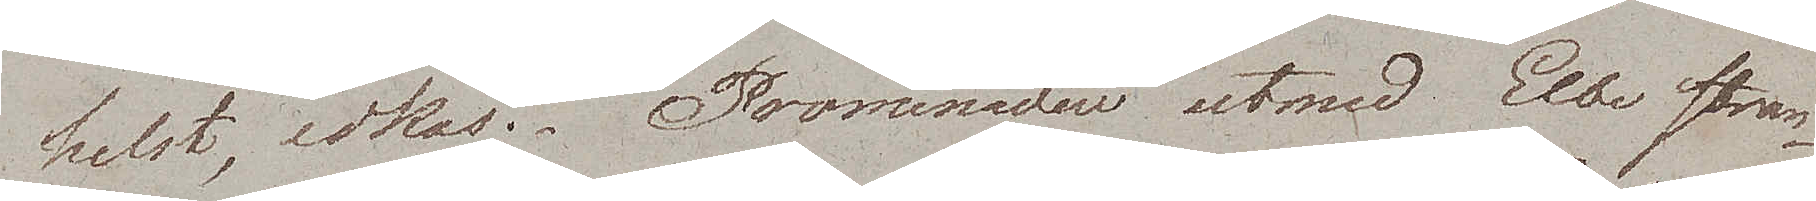helst, idkas. Promenaden utmed Eldb stran¬
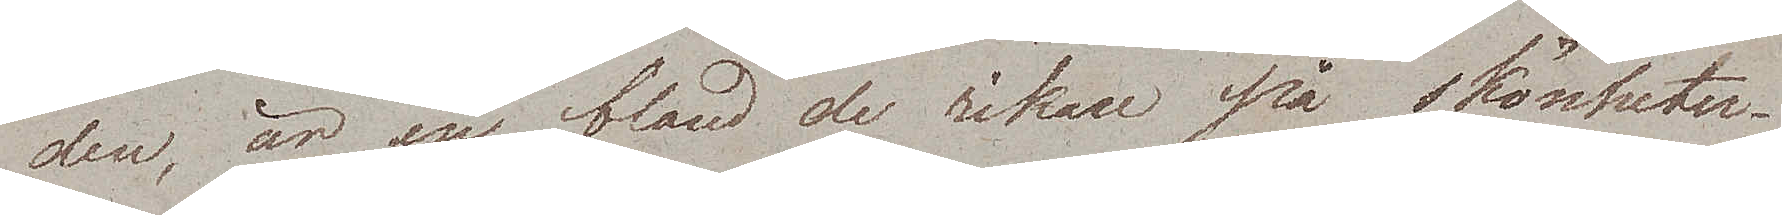den, är en bland de rikare på skönheter.
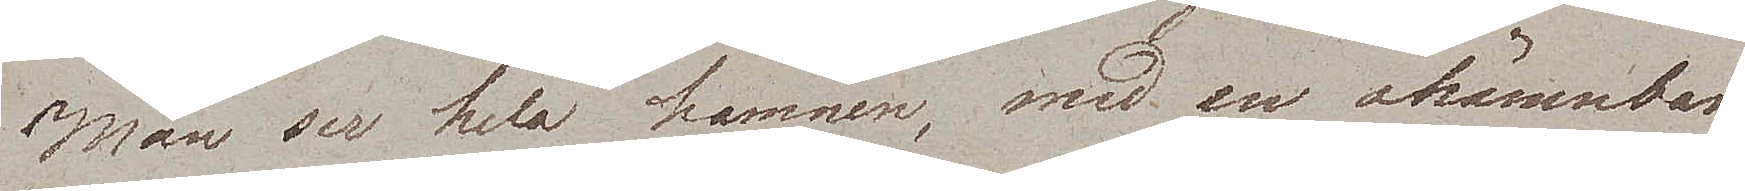Man ser hela hamnen, med en okännbar
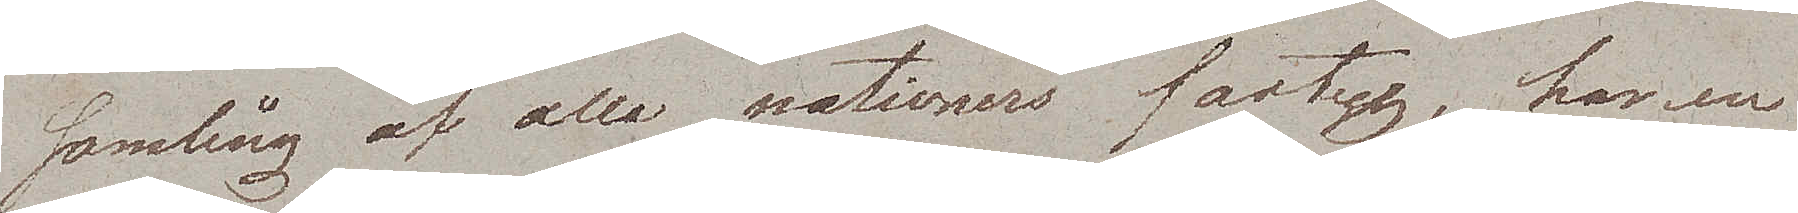samling af alla nationers fartyg, har en
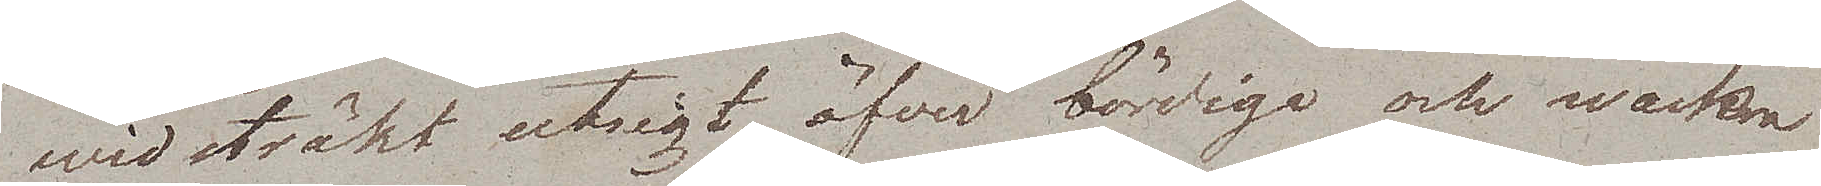widsträkt utsigt öfver bördiga och wackra
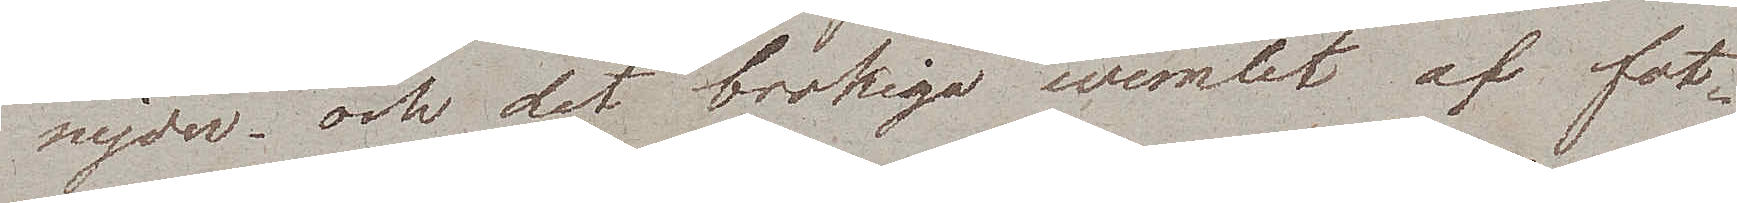nejder – och det brokiga wimlet af fot¬
